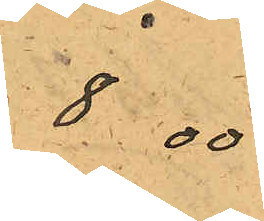8.00
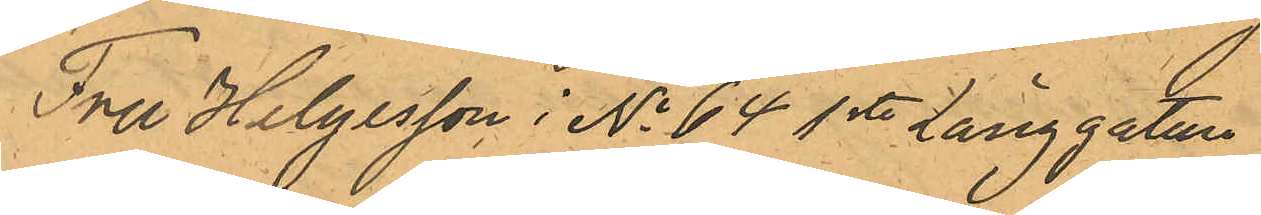Fru Helgesson i No 64 1sta Långgatan
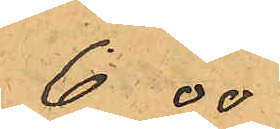6 00
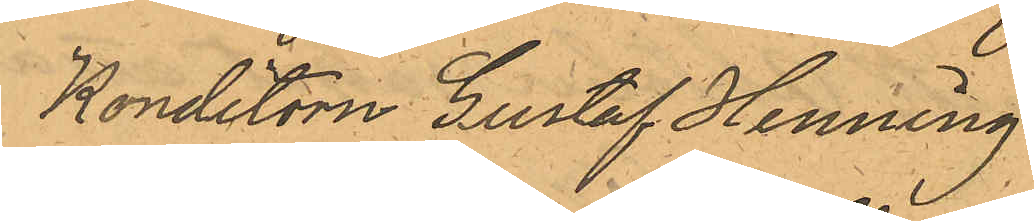Konditorn Gustaf Henning,
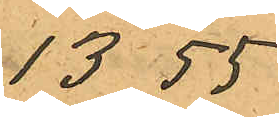13 55
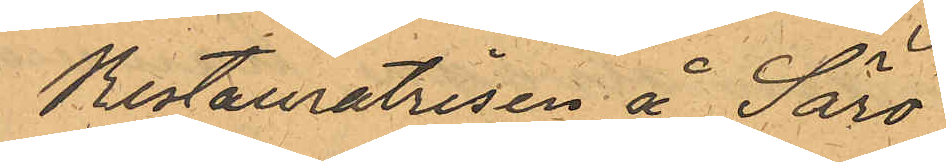Restauratrisen å Särö
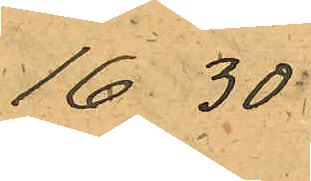16 30
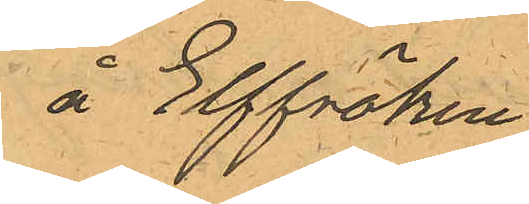å Elffröken
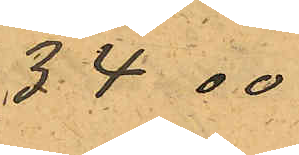34 00
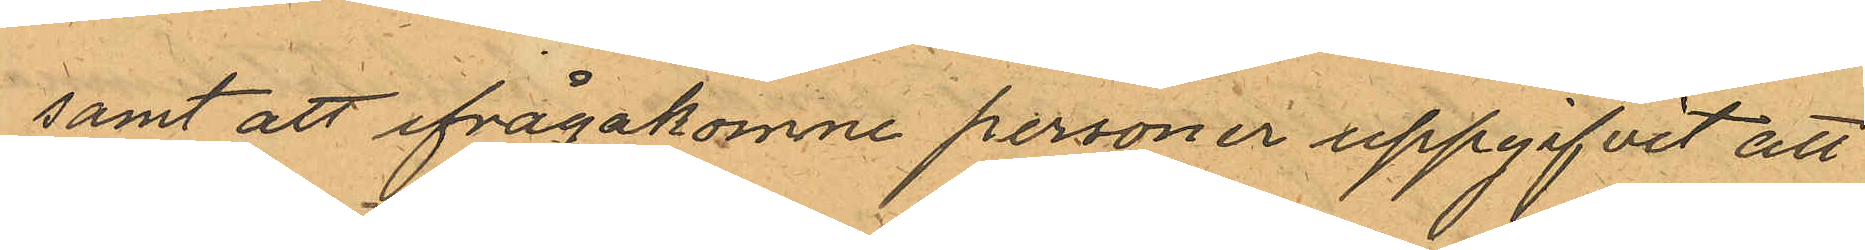samt att ifrågakomne personer uppgifvit att
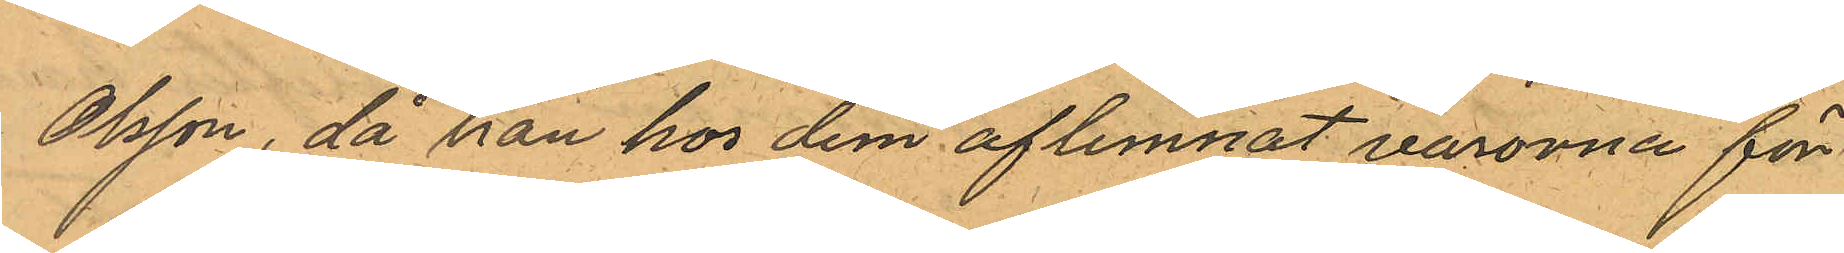Olsson, då han hos dem aflemnat varorna för
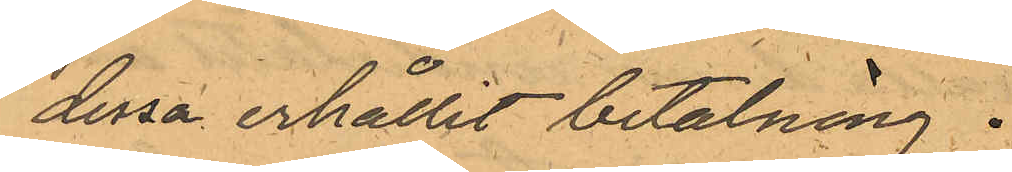dessa erhållit betalning.
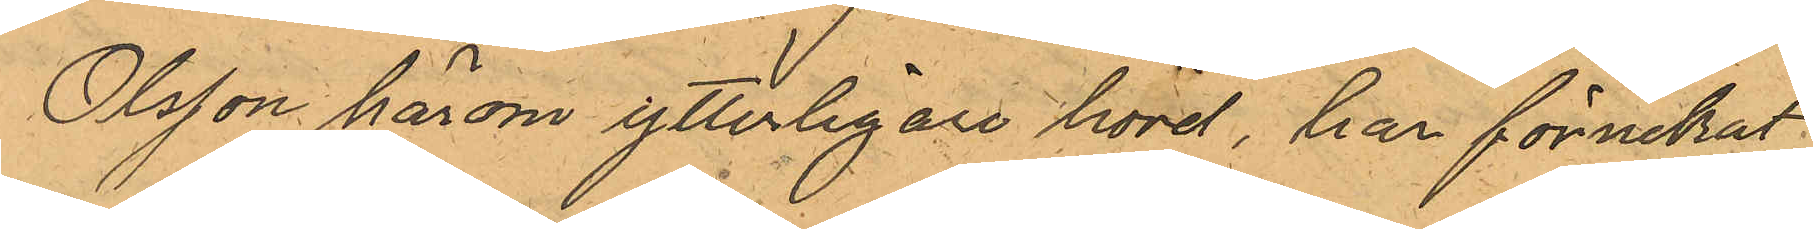Olsson härom ytterligare hörd, har förnekat
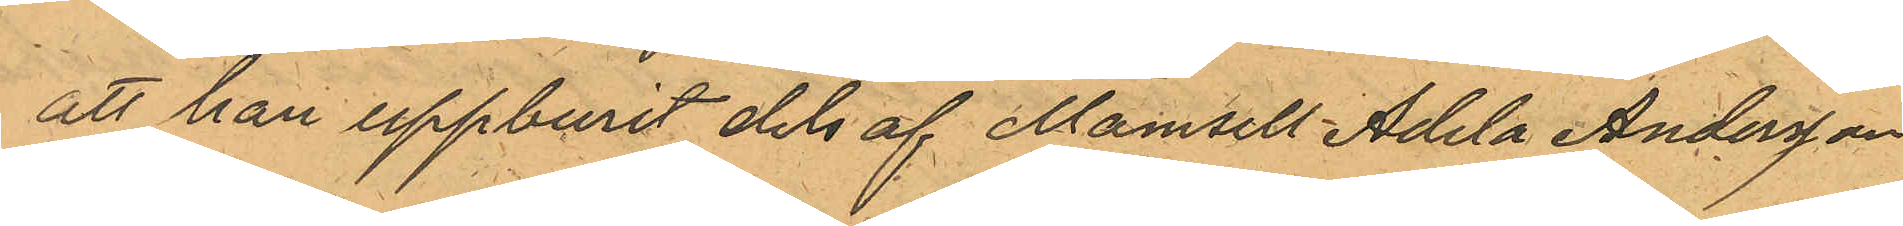att han uppburit dels af Mamsell Adela Andersson
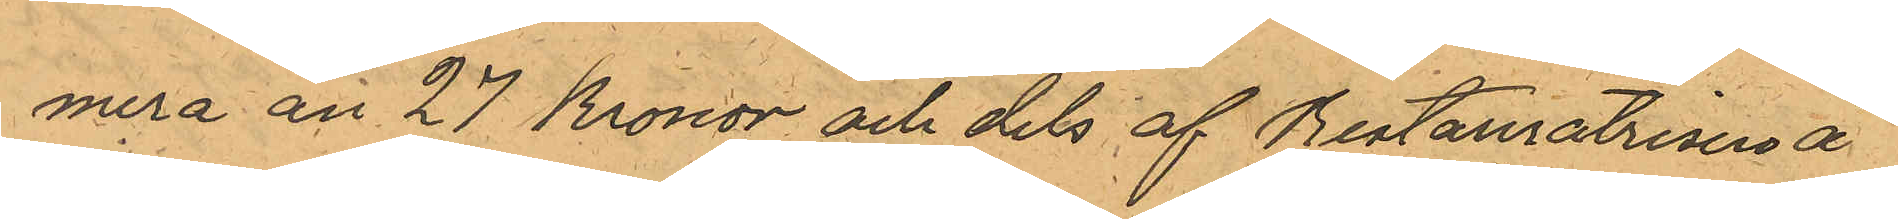mera än 27 Kronor och dels af Restauratrisen å
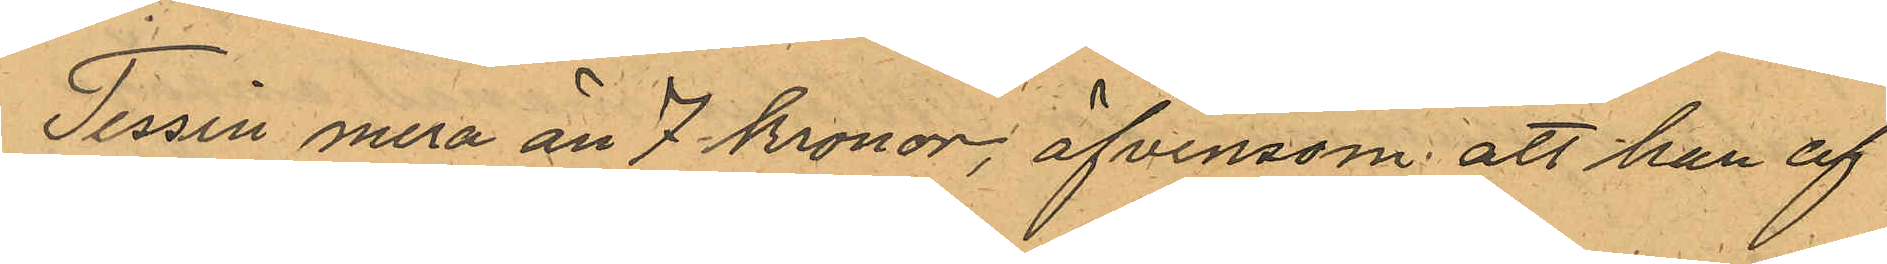Tessin mera än 7 kronor, äfvensom att han af
